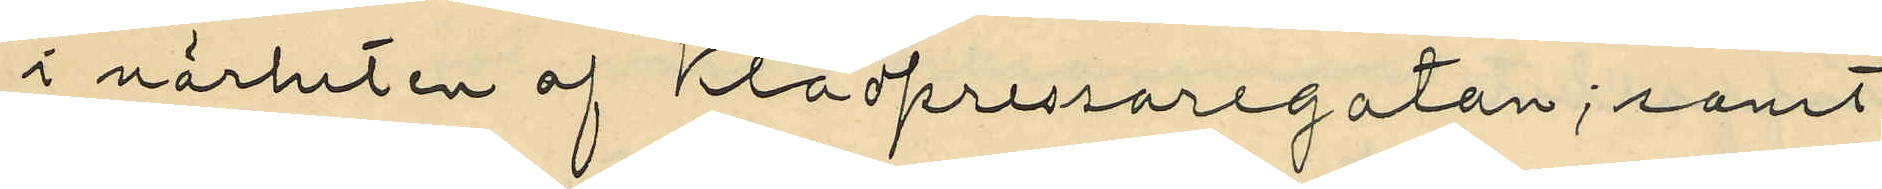i närheten af Klädpressaregatan; samt
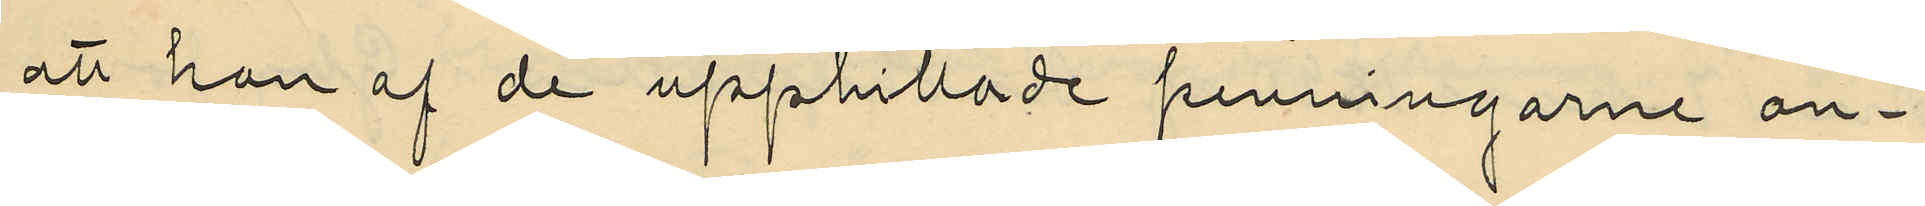att han af de upphittade penningarne an¬
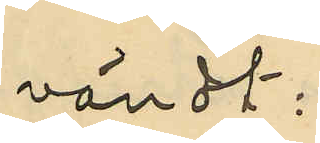vändt:
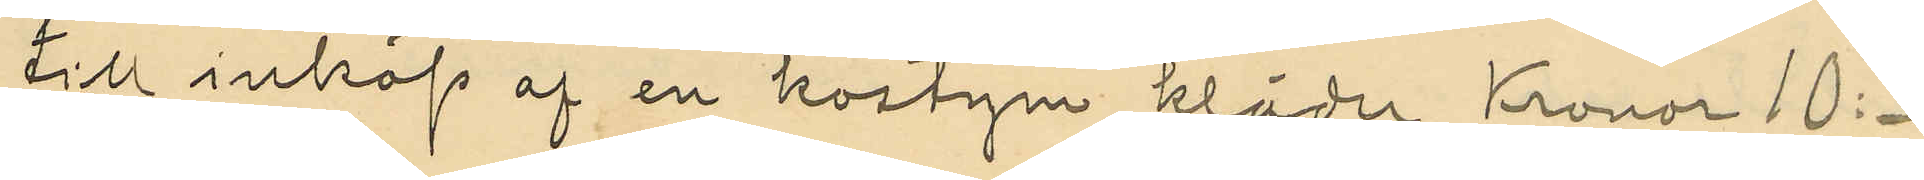till inköp af en kostym kläder Kronor 10:
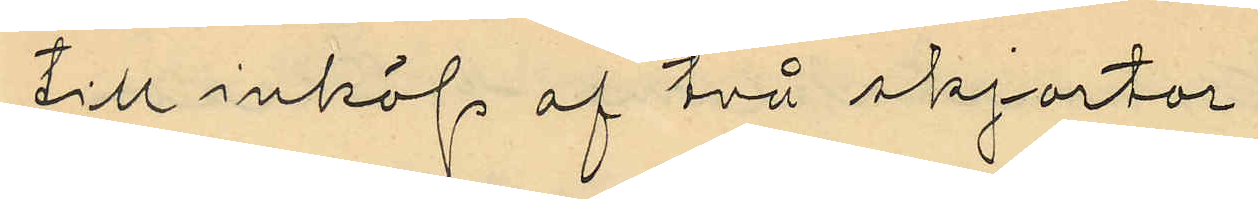till inköp af två skjortor
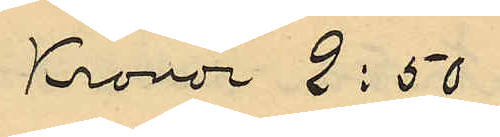Kronor 2:50
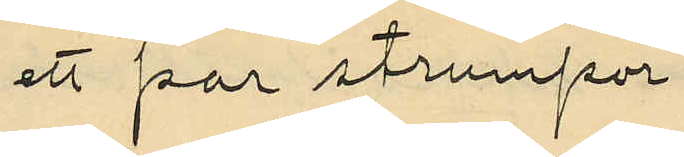ett par strumpor
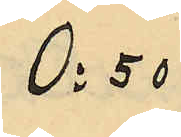0:50
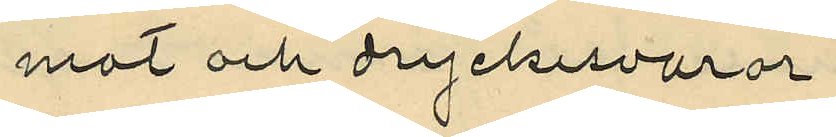mat och dryckesvaror
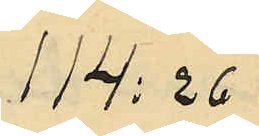114:26
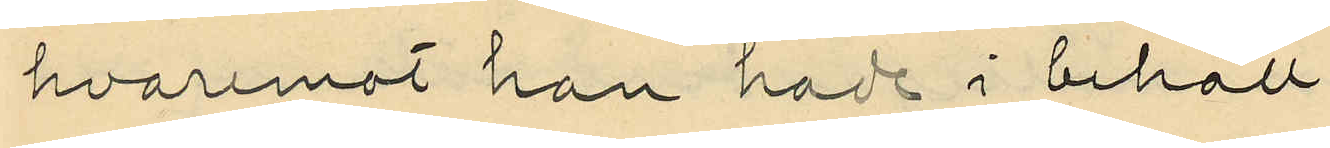hvaremot han hade i behåll
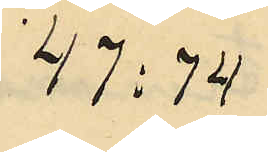47:74
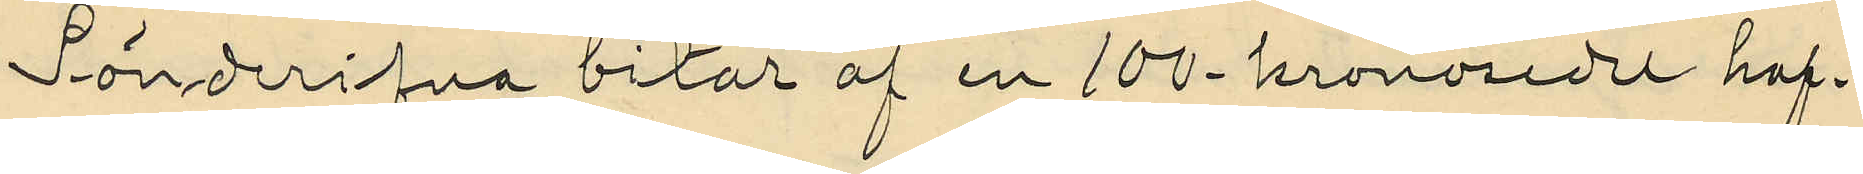Sönderifna bitar af en 100-kronosedel haf¬
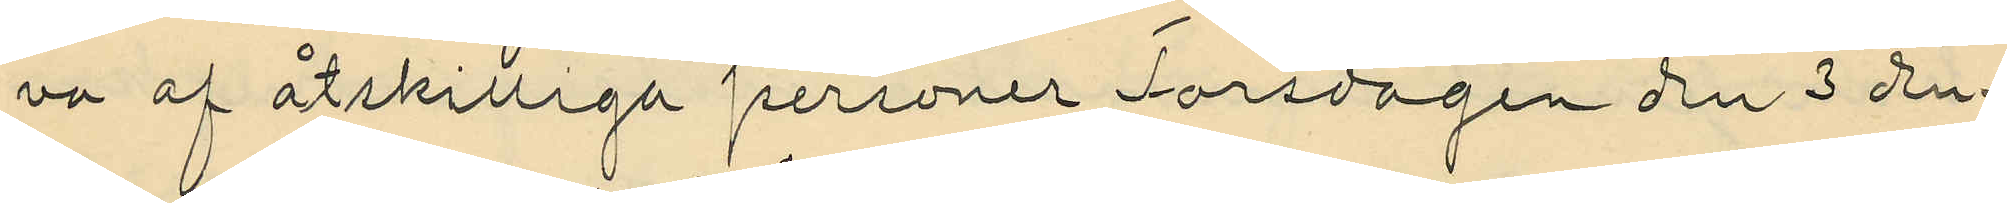va af åtskilliga personer Torsdagen den 3 den¬
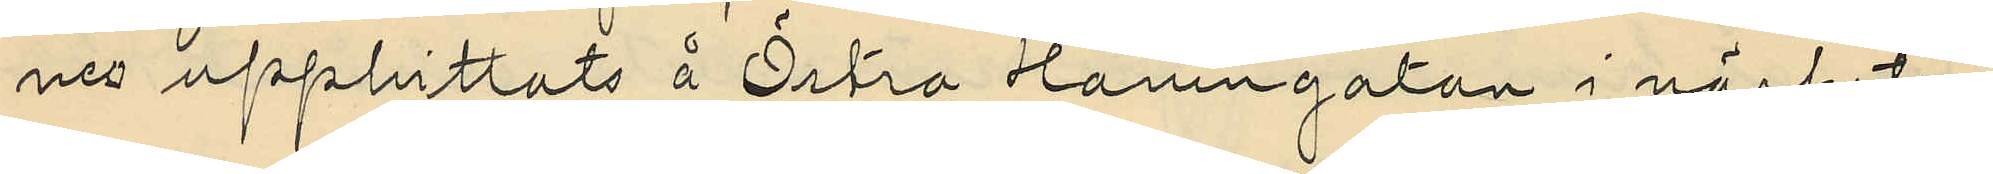nes upphittats å Östra Hamngatan i närheten
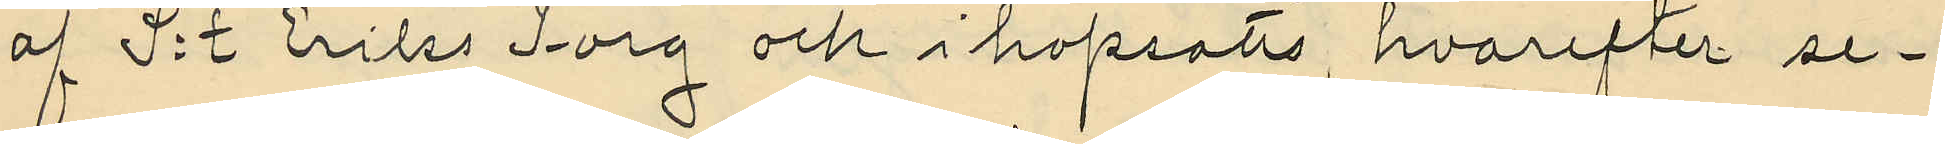af S:t Eriks Torg och ihopsatts, hvarefter se¬
